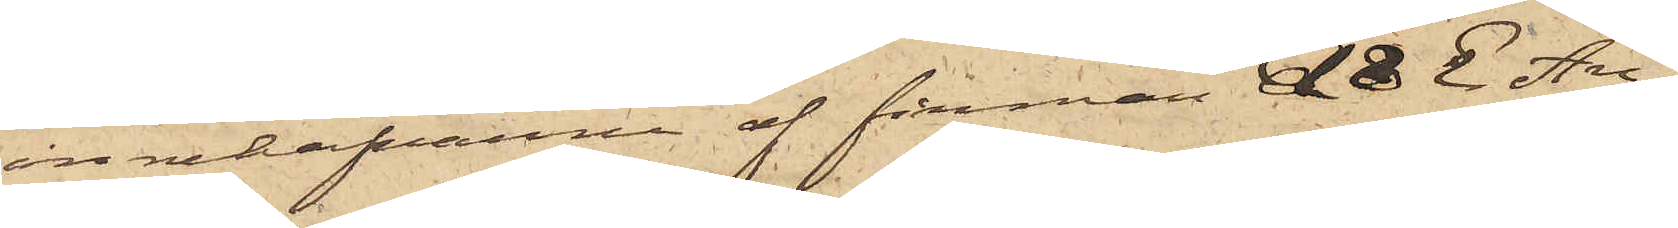innehafvarne af firman A & E An¬
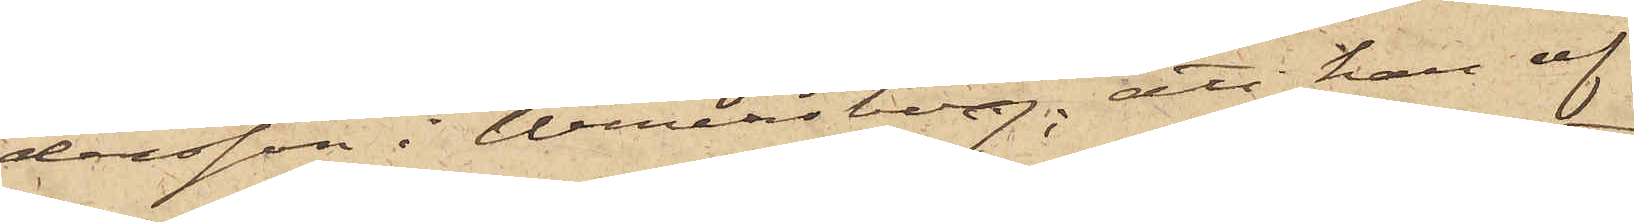dersson i Wenersborg; att han af
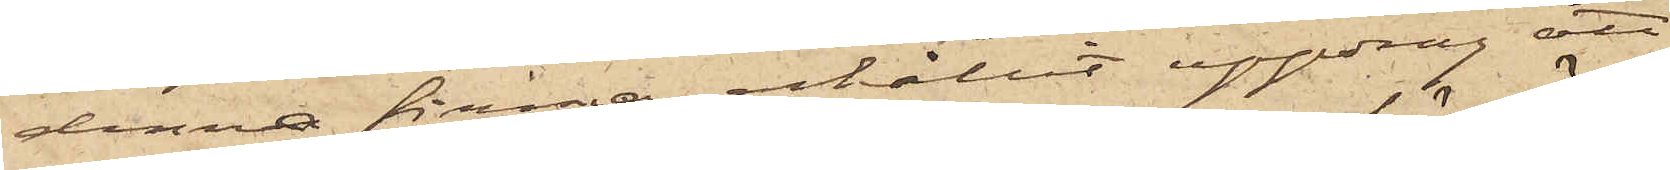denna firma erhållit uppdrag att
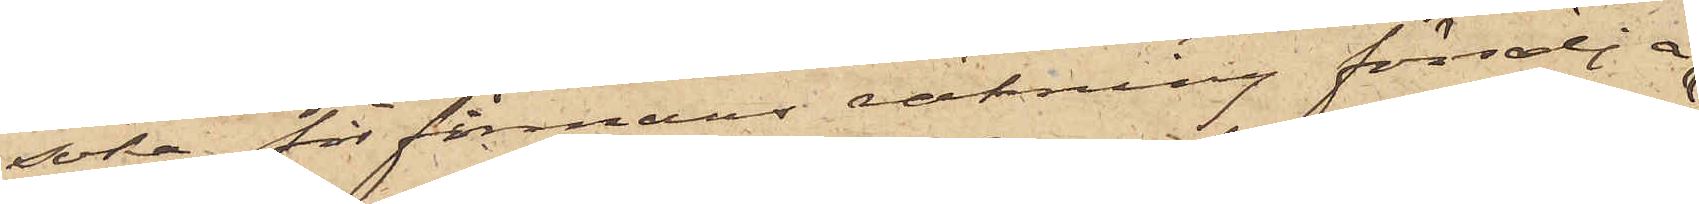söka för firmans räkning försälja
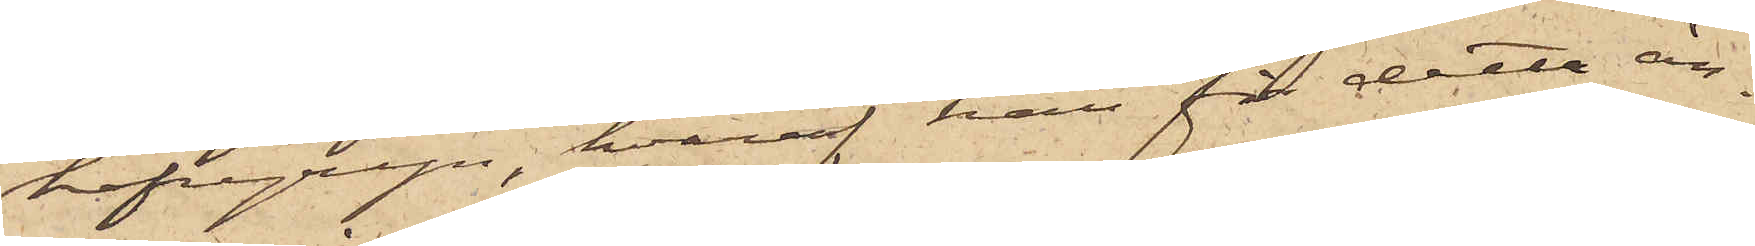hafvegryn, hvaraf han för detta än¬
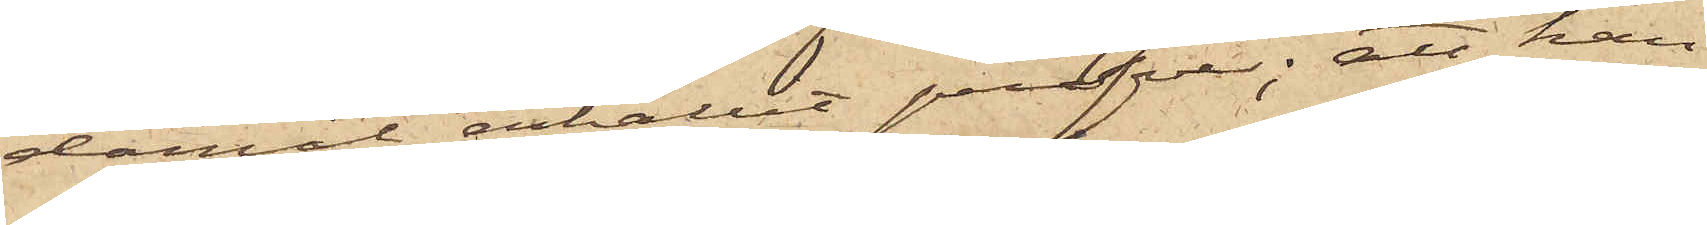damål erhållit profver; att han
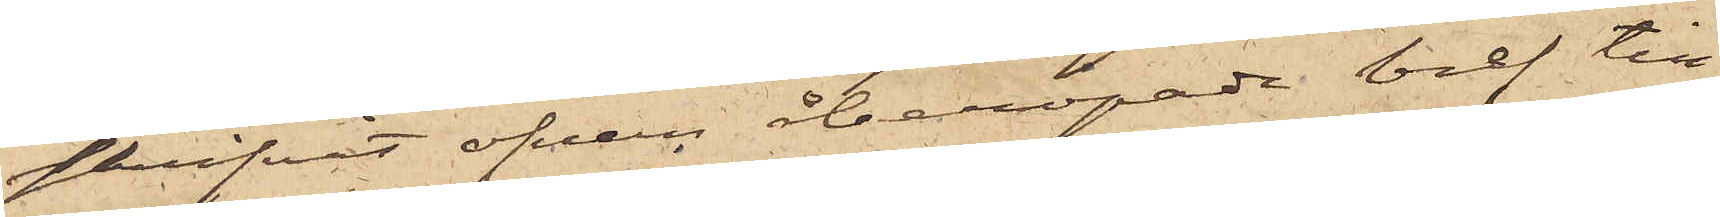skrifvit ofvan återopade bref till
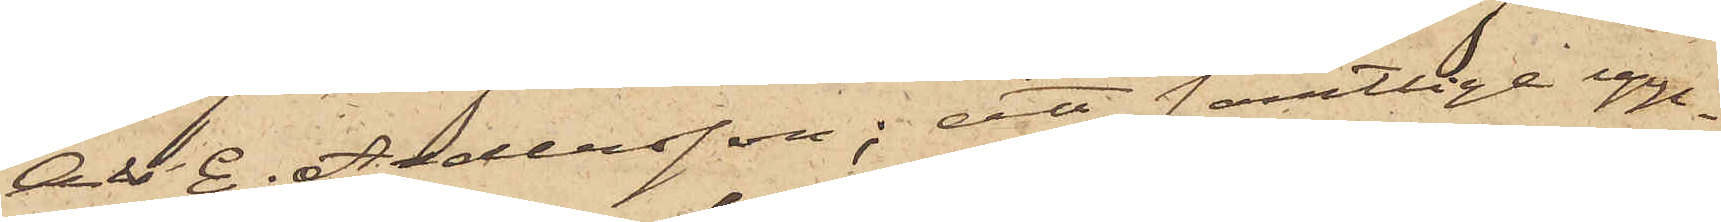A & E. Andersson; att samtlige upp¬
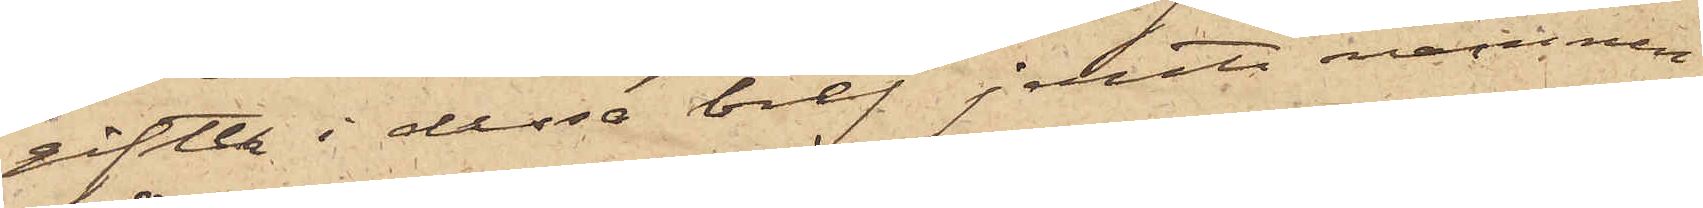gifter i dessa bref jemte namnen
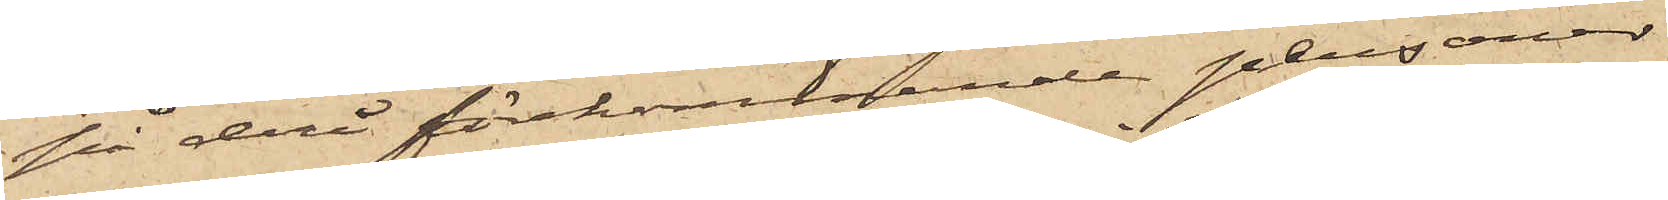på deri förekommande personer
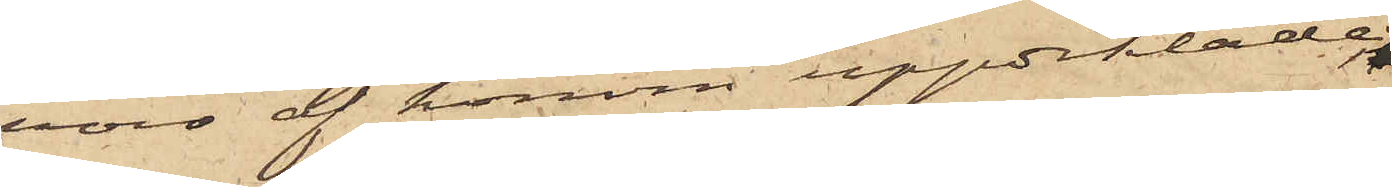voro af honom uppdiktade;
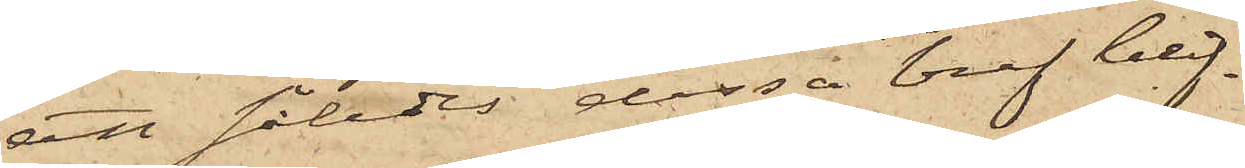att således dessa bref blif¬
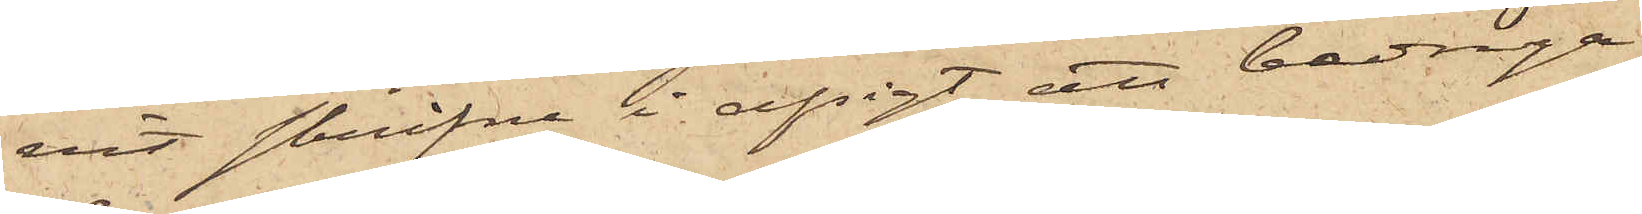vit skrifne i afsigt att bedraga
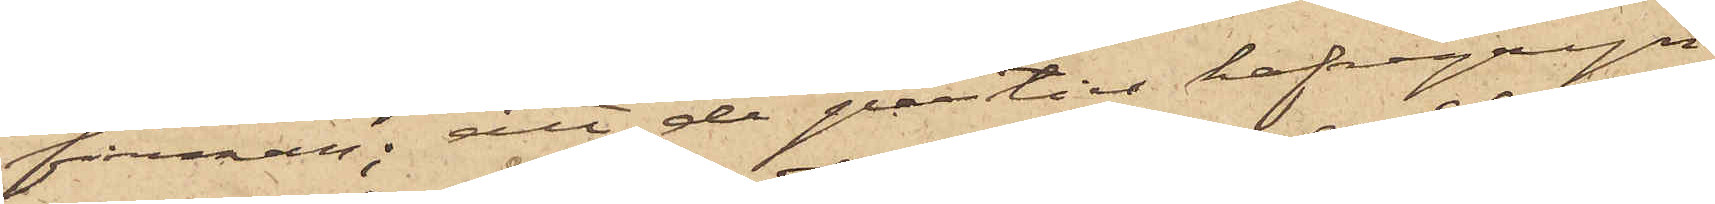firman; att de partier hafregryn,
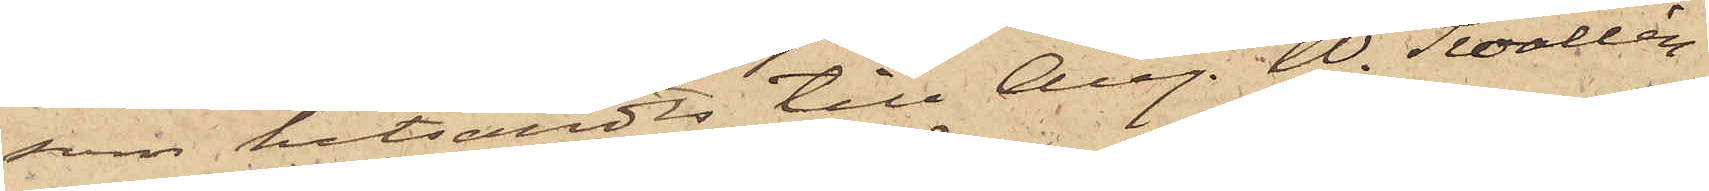som hitsändts till Aug. W. Swallén
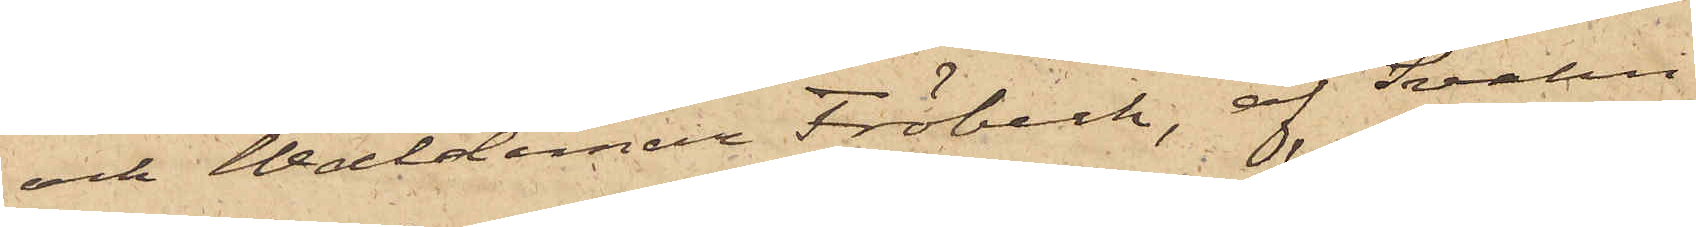och Waldemar Fröbeck, af Svahn
